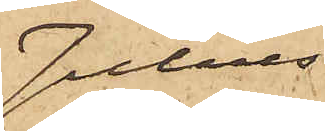Julius
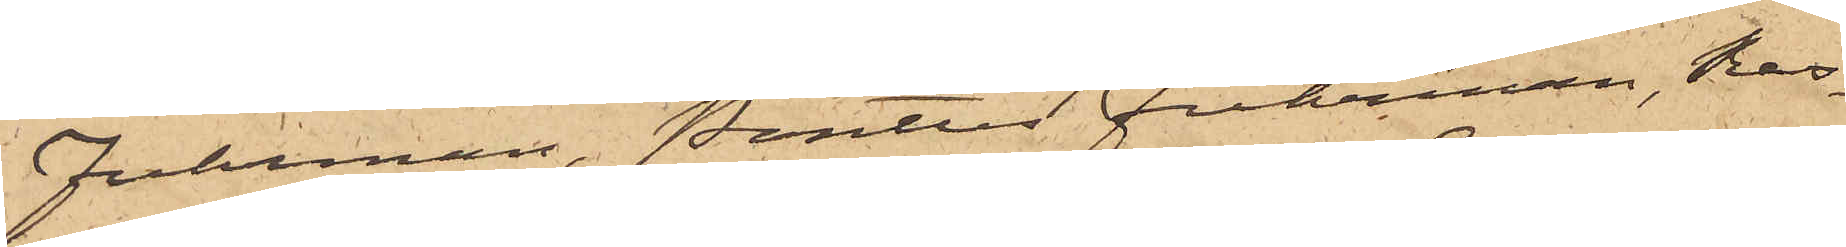Fuhrman, Pontus Fuhrman, Ras¬
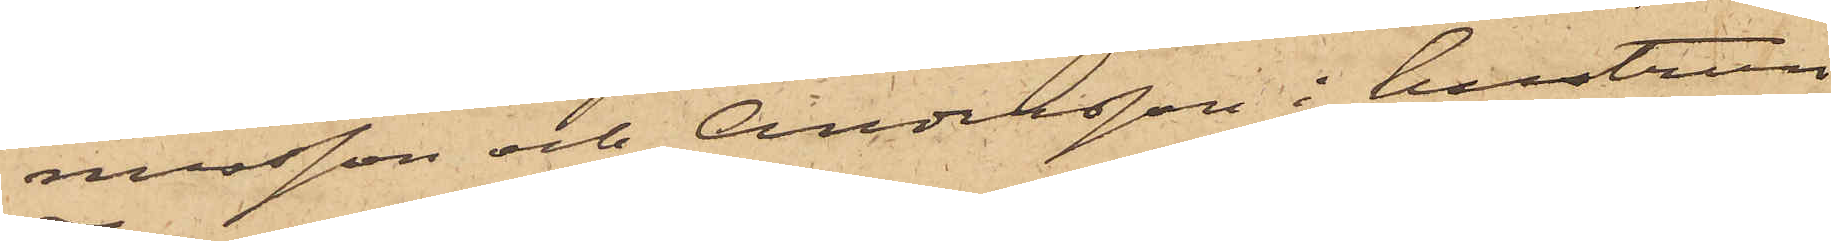musson och Andersson i hustrun
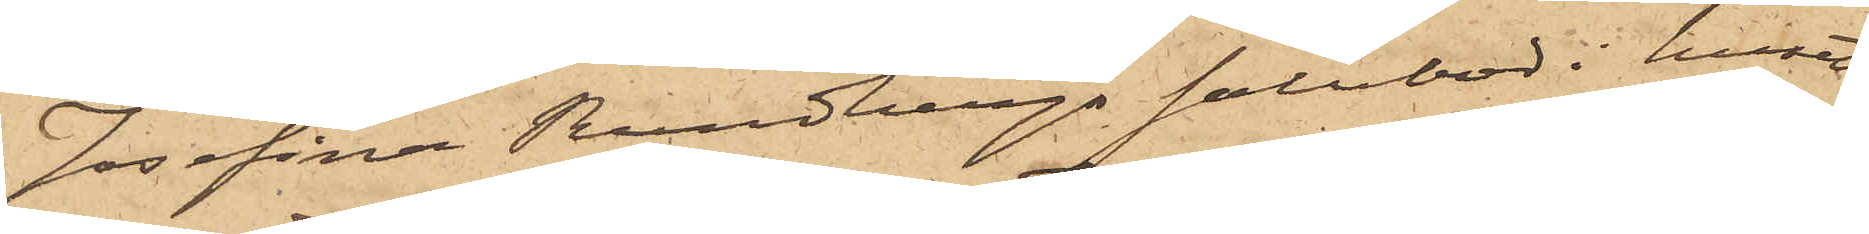Josefina Rundbergs salubod i huset
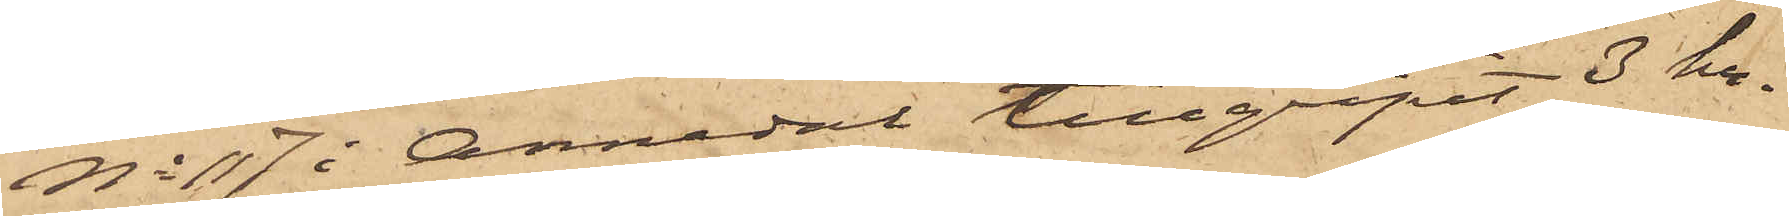No 117 i Annedal tillgripit 3 kr
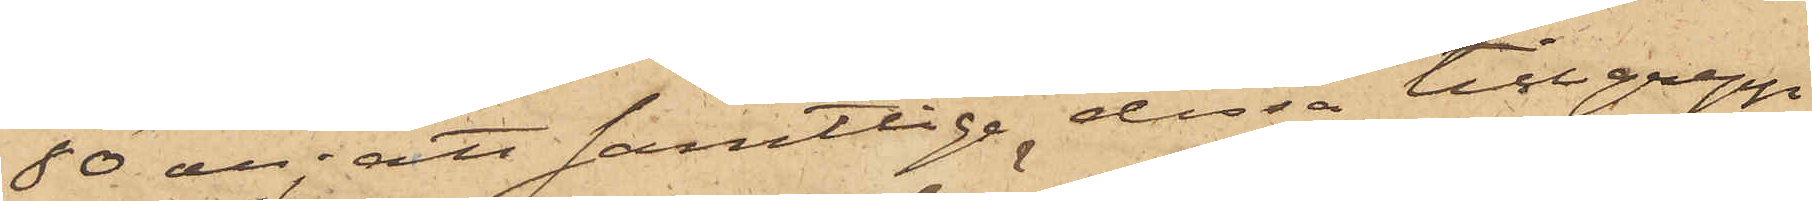80 öre; att samtlige dessa tillgrepp
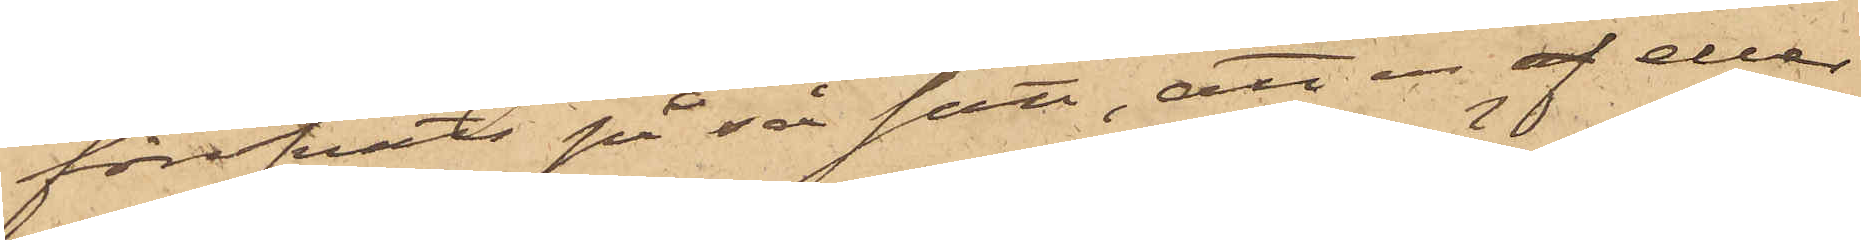föröfvats på så sätt, att en af eller
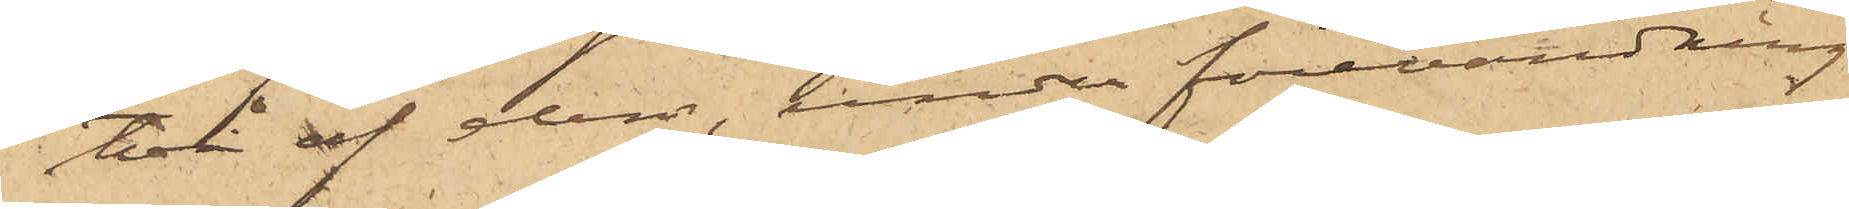två af dem, under förevändning
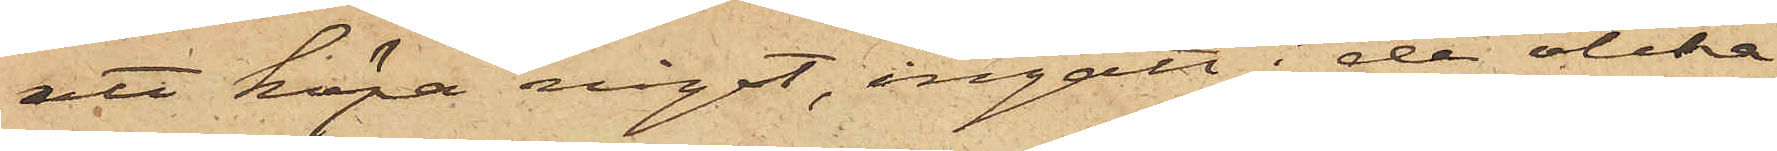att köpa något, ingått i de olika
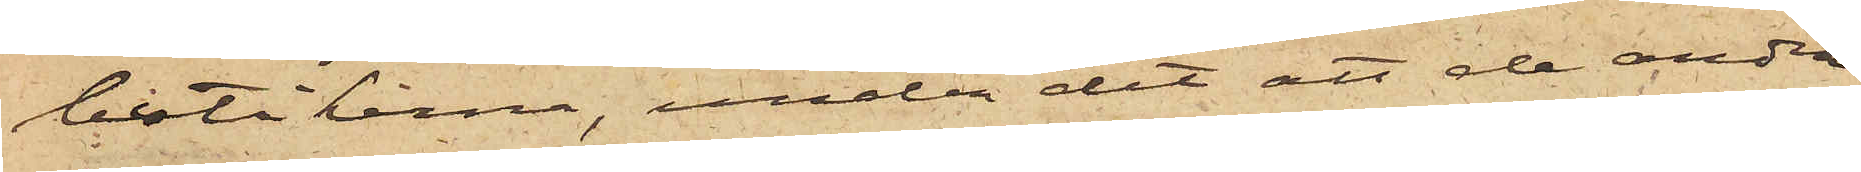butikerna, under det att de andra
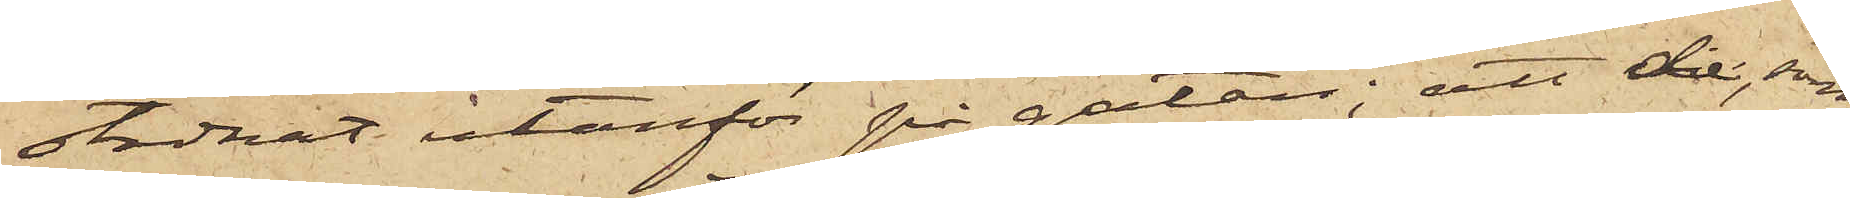stadnat utanför på gatan; att de, som
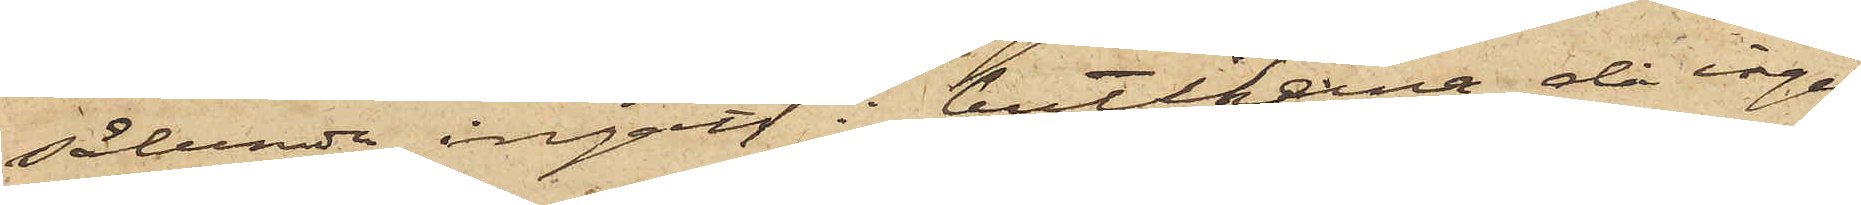sålunda ingått i butikena, då ingen
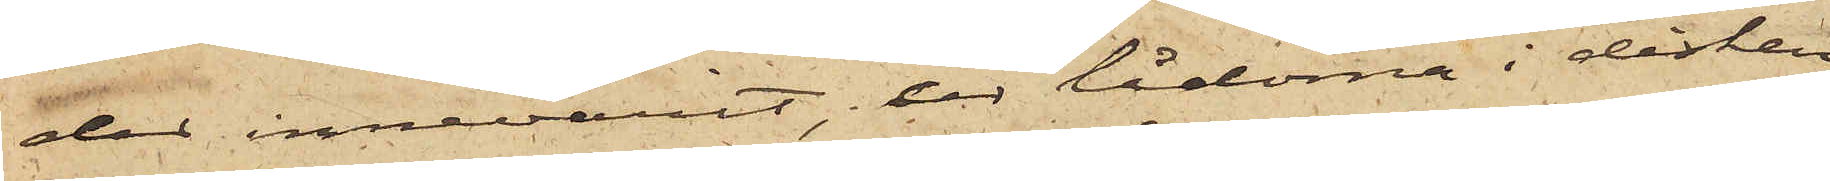der innevarit, ur lådorna i disken
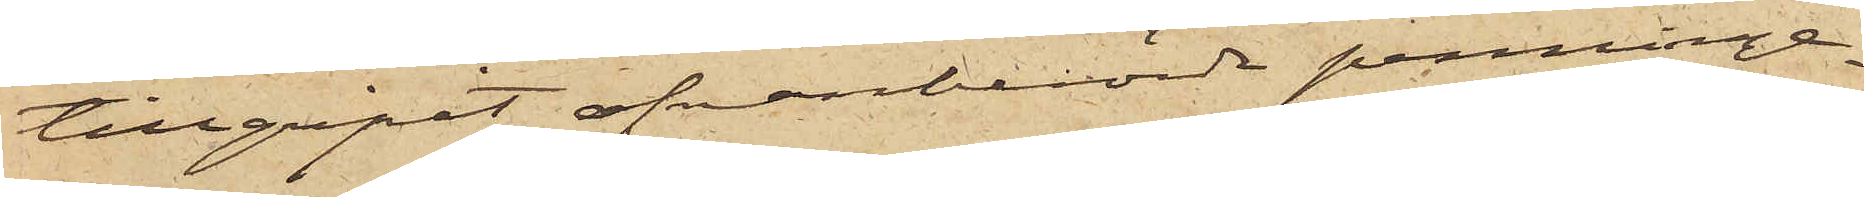tillgripit ofvanberörde penninge¬
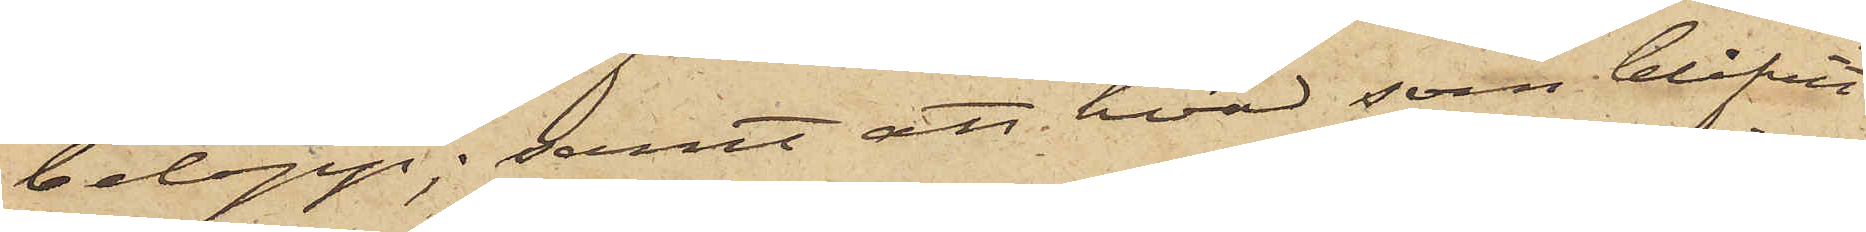belopp; samt att hvad som blifvit
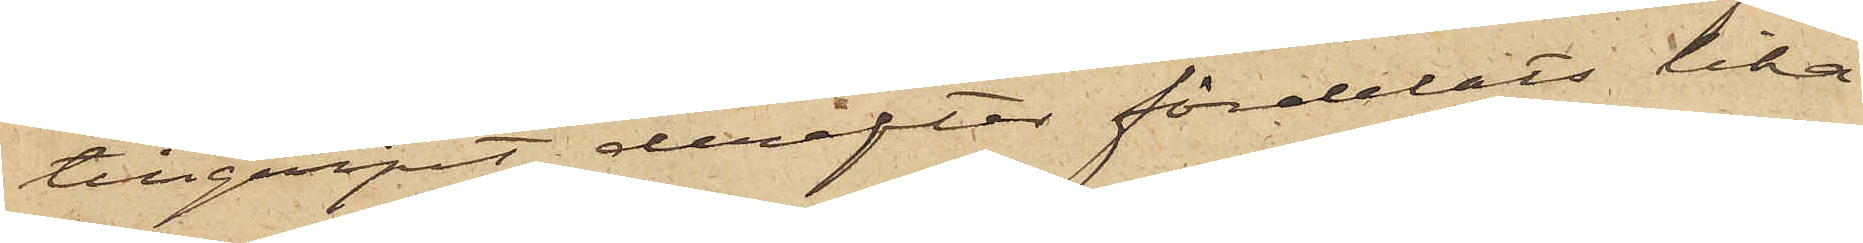tillgripit, derefter fördelats lika
